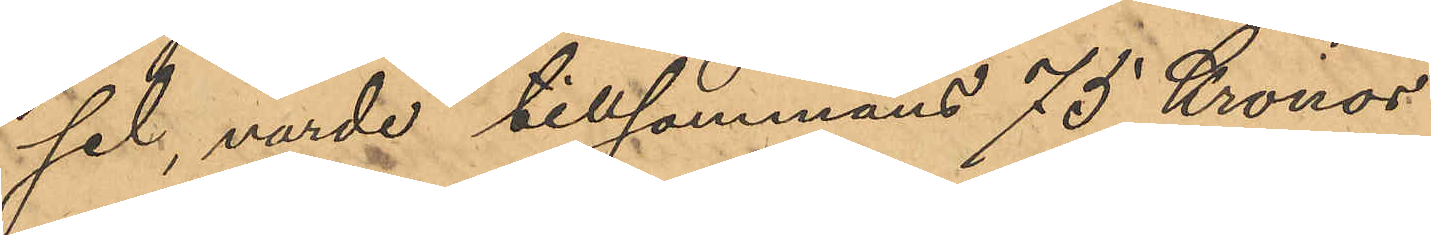sel, värde tillsammans 75 Kronor.
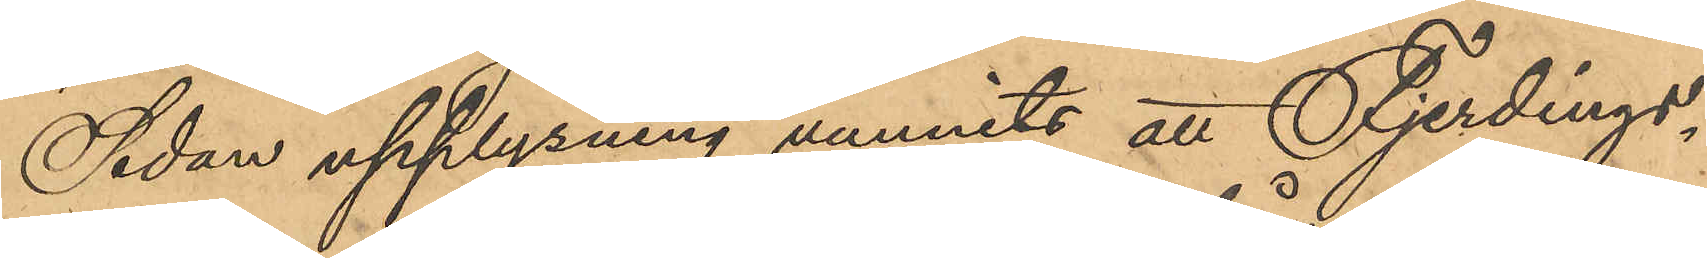Sedan upplysning vunnits att Fjerdings¬
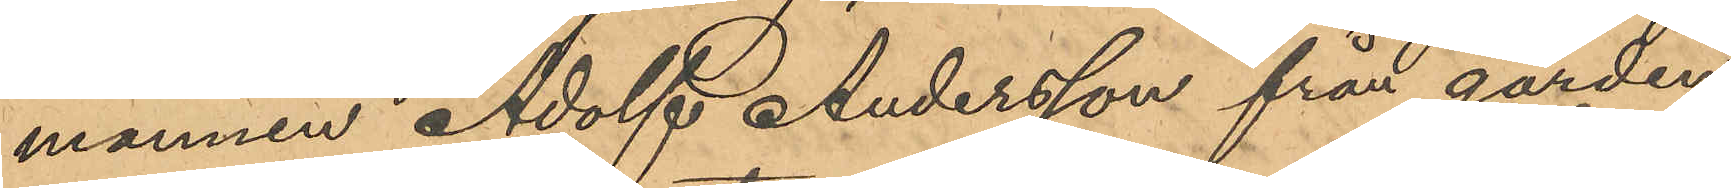mannen Adolf Andersson från gården
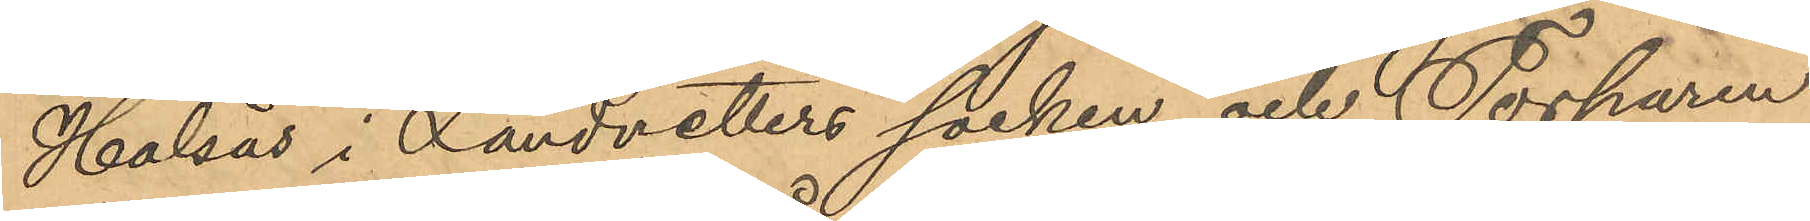Halsås i Landvetters socken och Torparen
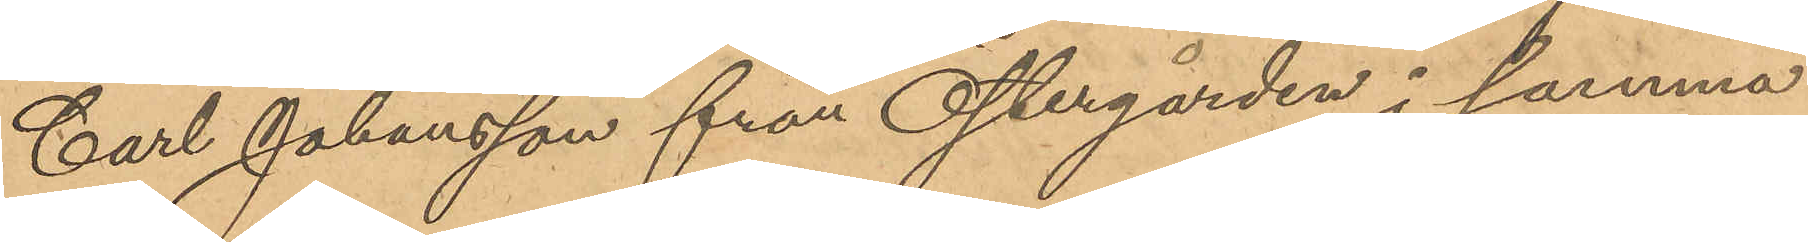Carl Johansson från Östergården i samma
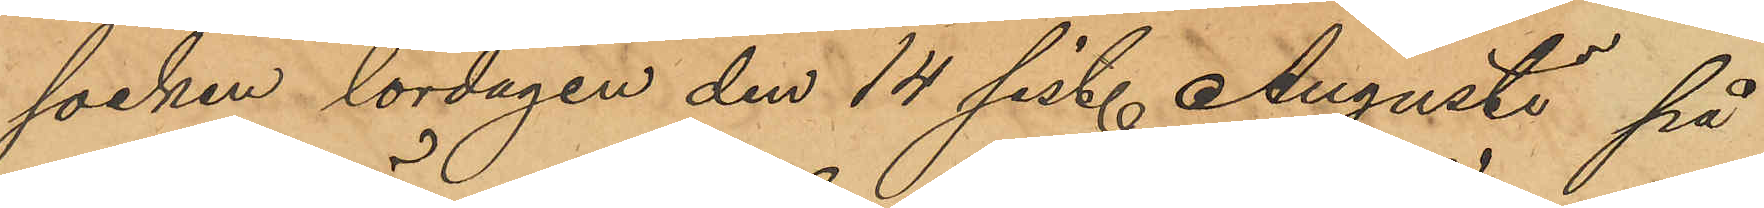socken lördagen den 14 sist. Augusti på
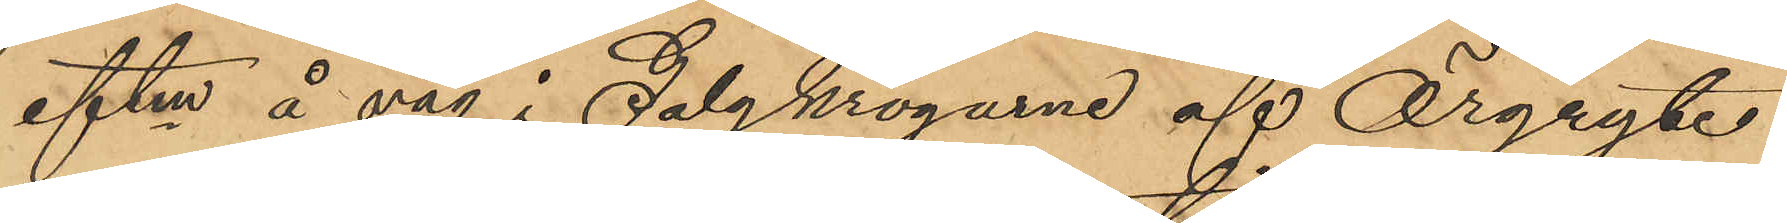eftm å väg i Galgkrogarne af Örgryte
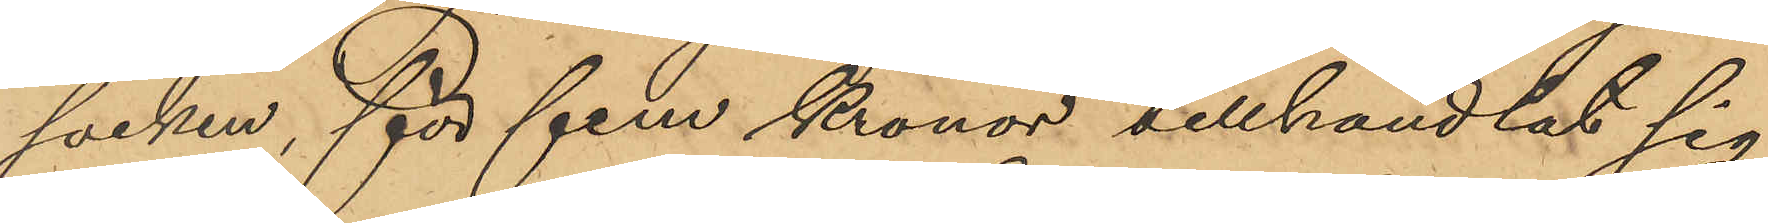socken, för fem Kronor tillhandlat sig
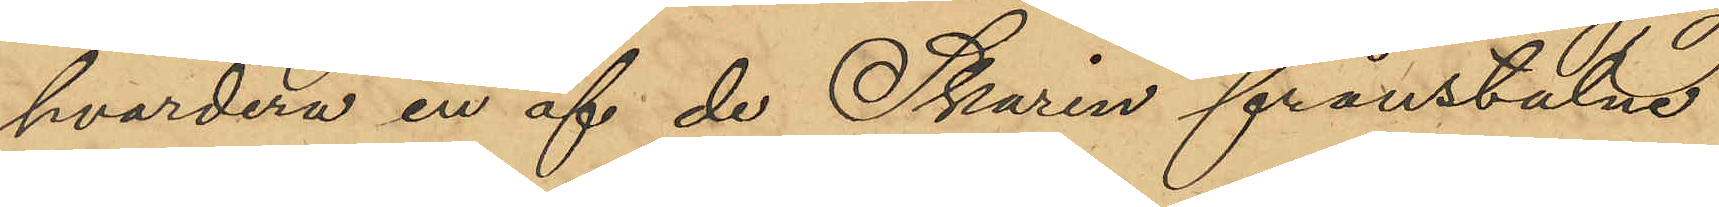hvardera en af de Skarin frånstulne
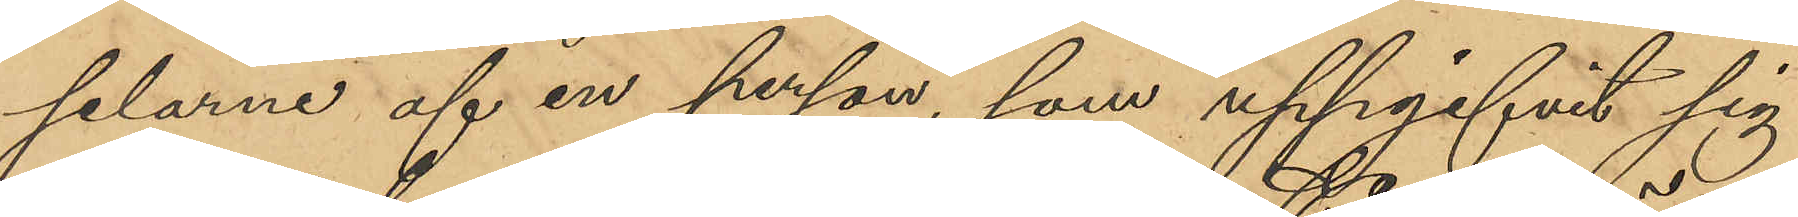selarne af en person, som uppgifvit sig
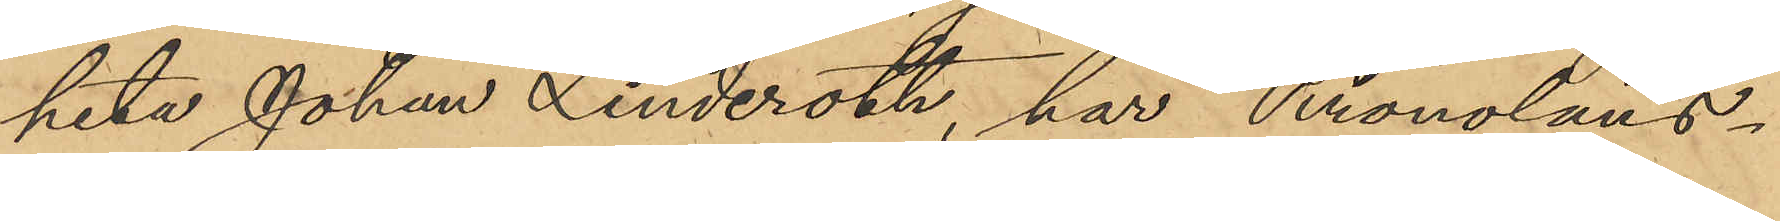heta Johan Linderoth, har Kronoläns¬
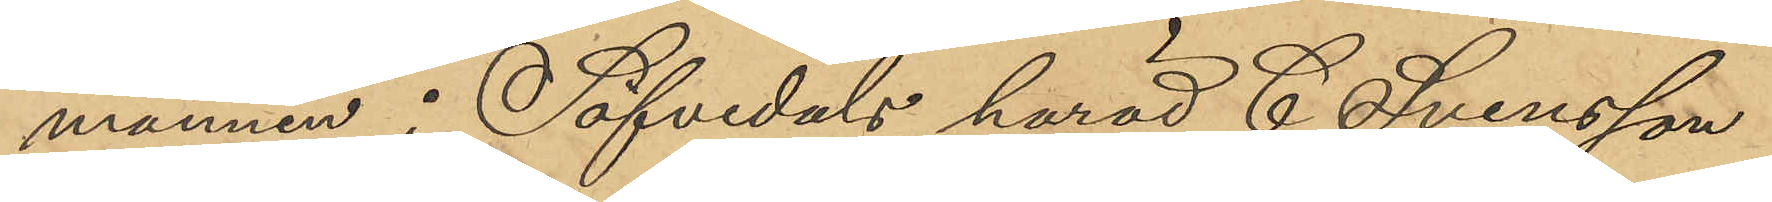mannen i Säfvedals härad C. Svensson
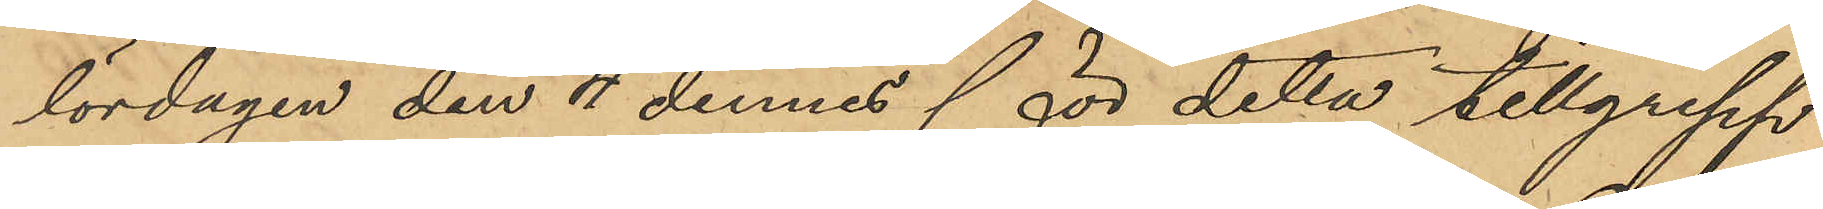lördagen den 4 dennes för detta tillgrepp
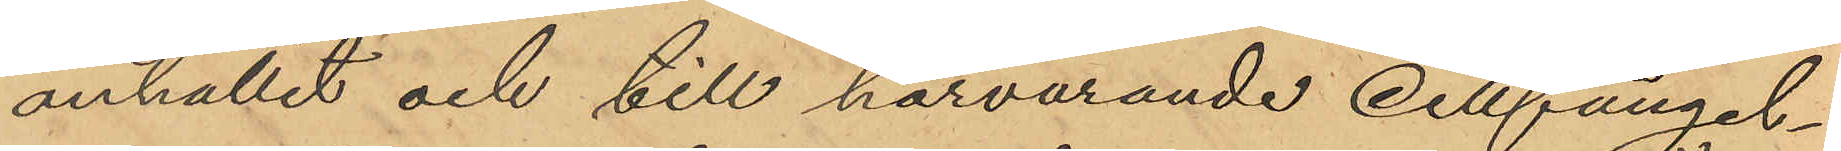anhållit och till härvarande cellfängel¬
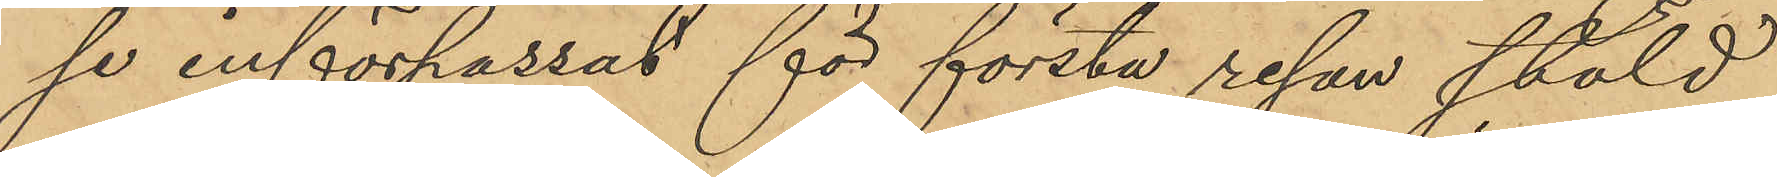se införpassat för första resan stöld
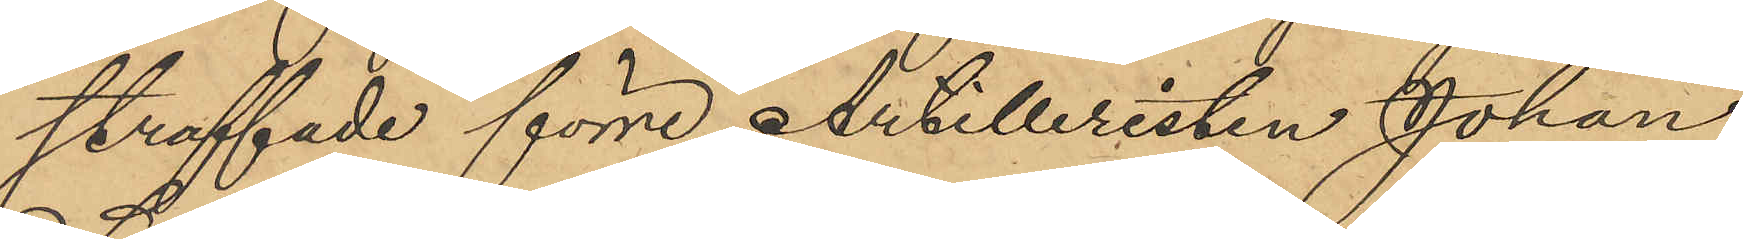straffade förre Artilleristen Johan
